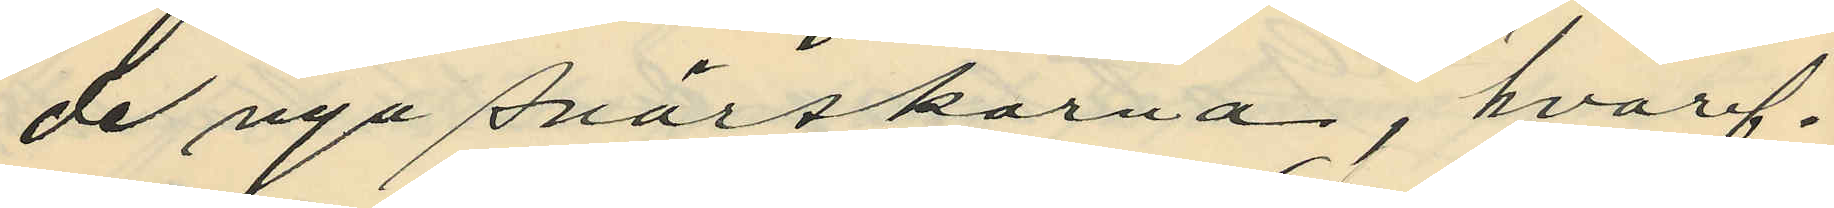de nya snörskorna, hvaref¬
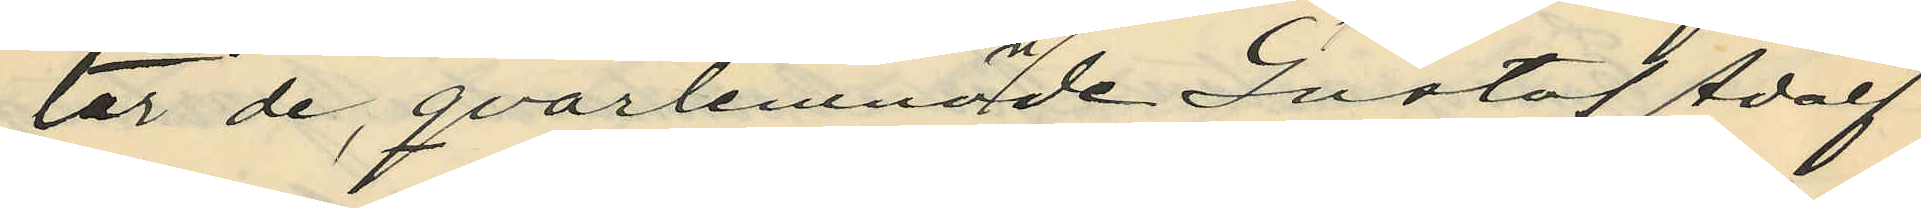ter de, qvarlemnande Gustaf Adolf
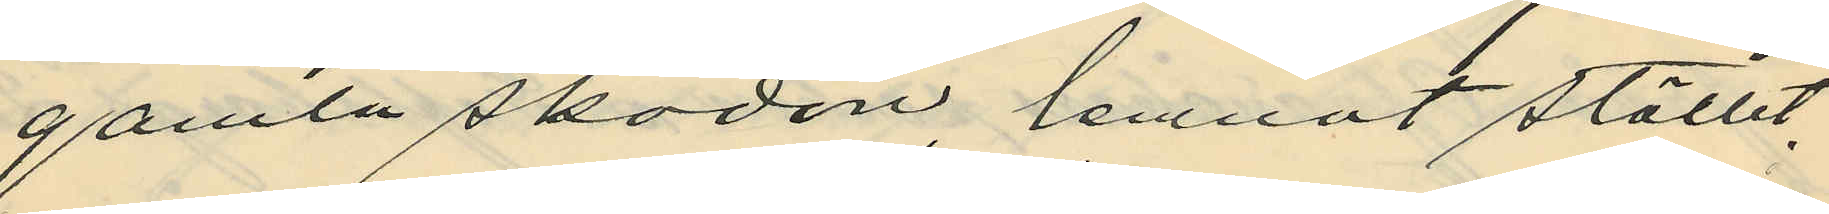gamla skodon, lemnat stället,
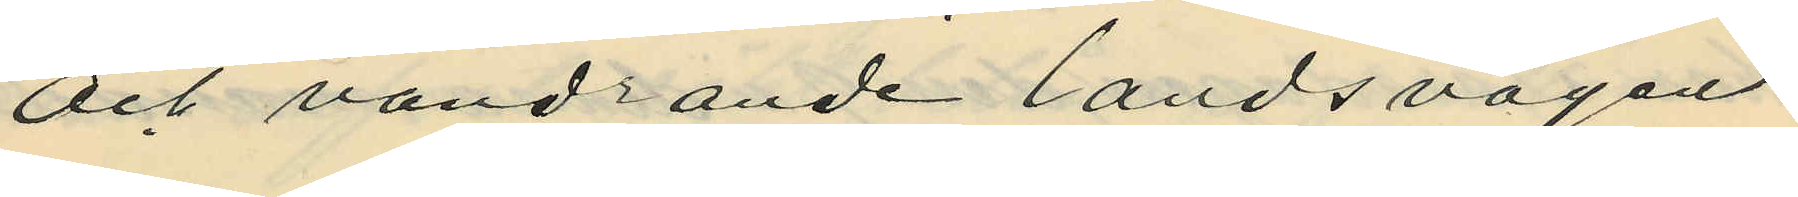och vandrande landsvägen
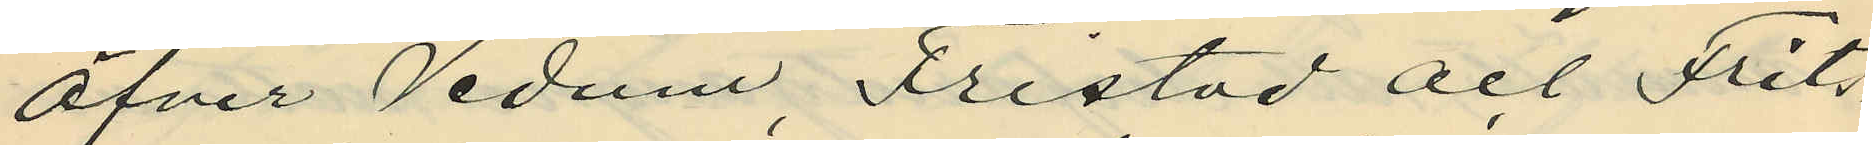öfver Vedum, Fristad och Frits¬
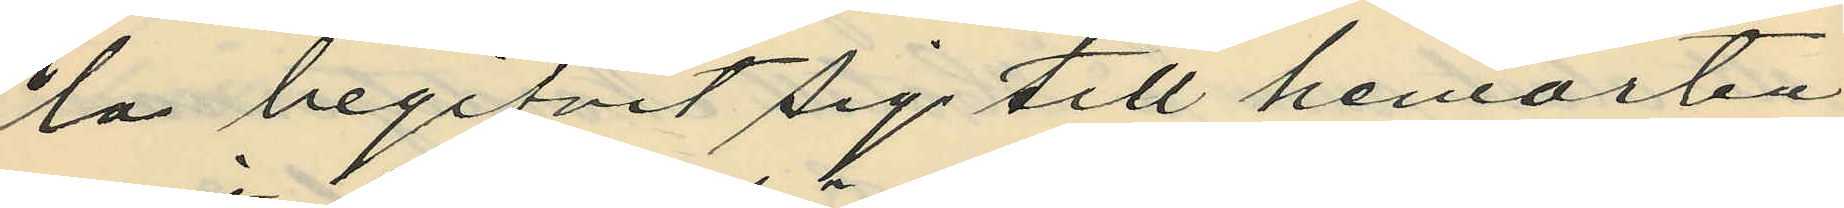la begifvit sig till hemorten,
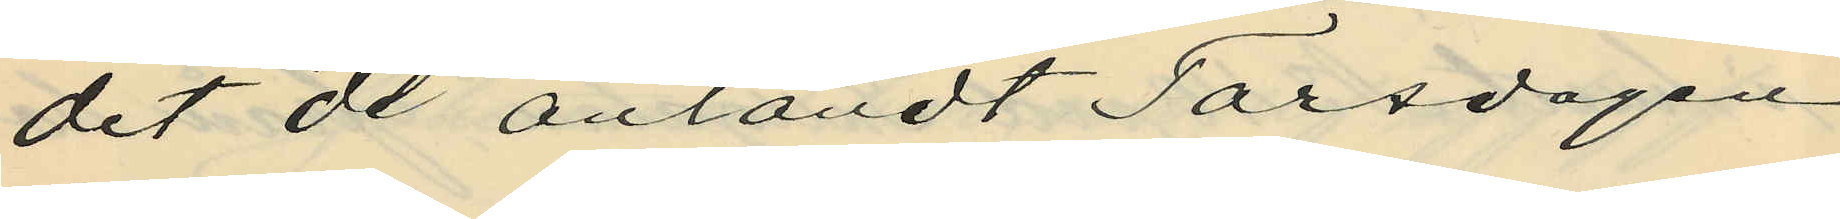dit de anländt Torsdagen
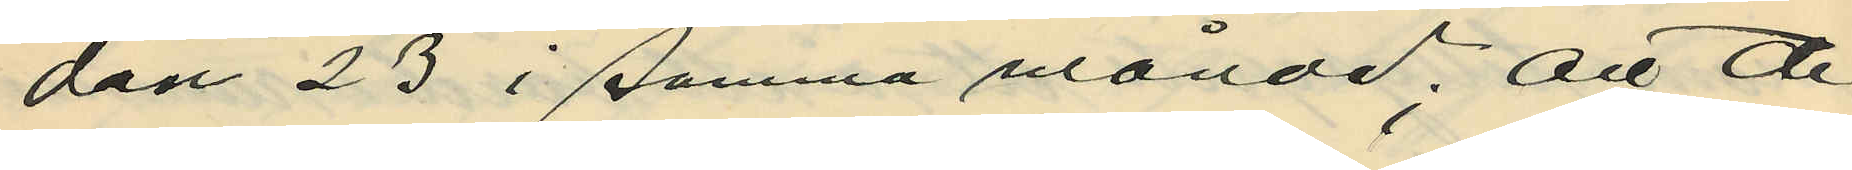den 23 i samma månad; att de
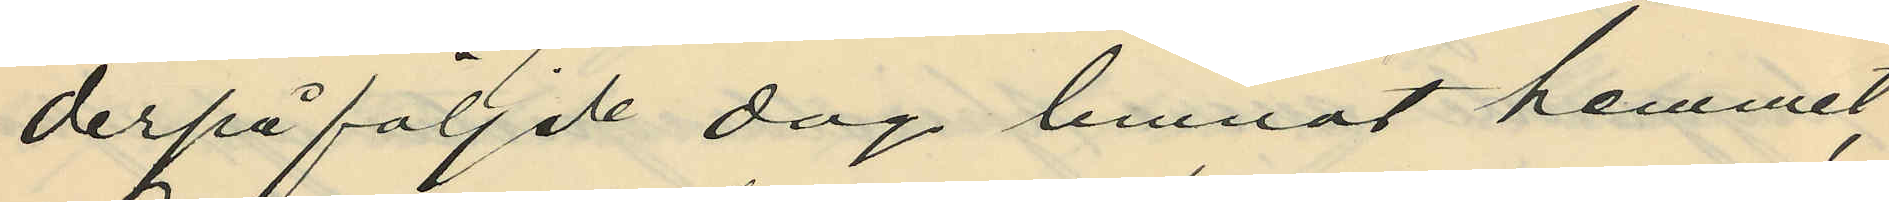derpåföljde dag lemnat hemmet,
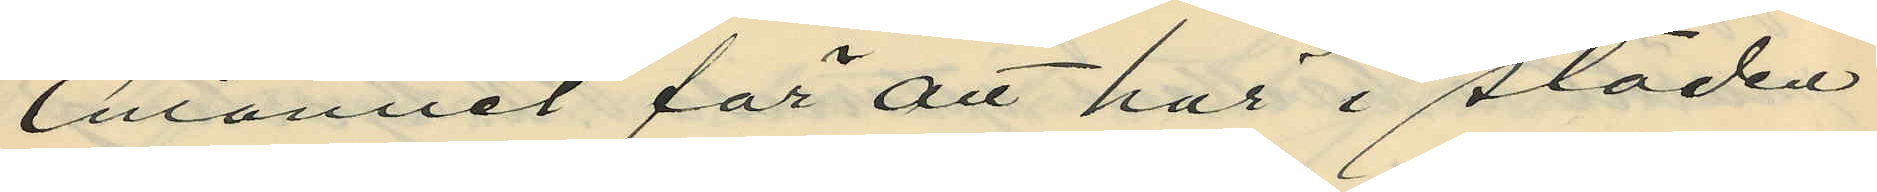emanuel för att här i staden
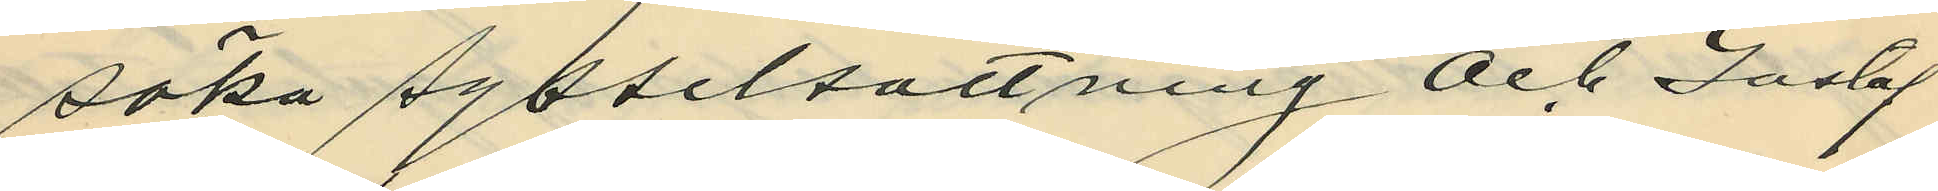söka sysselsättning och Gustaf
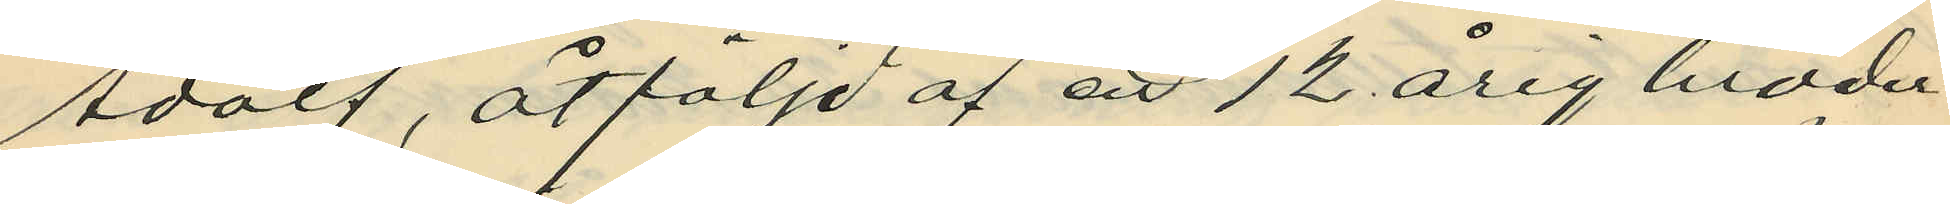Adolf, åtföljd af en 12 årig broder
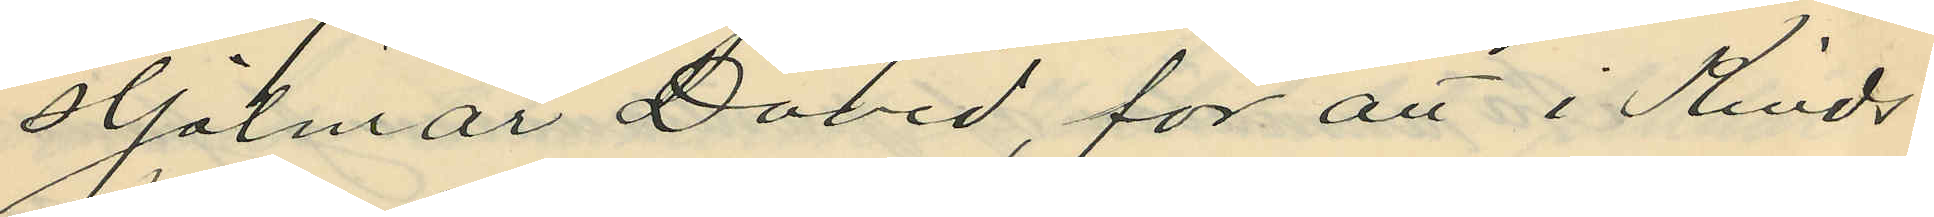Hjalmar David, för att i Kinds
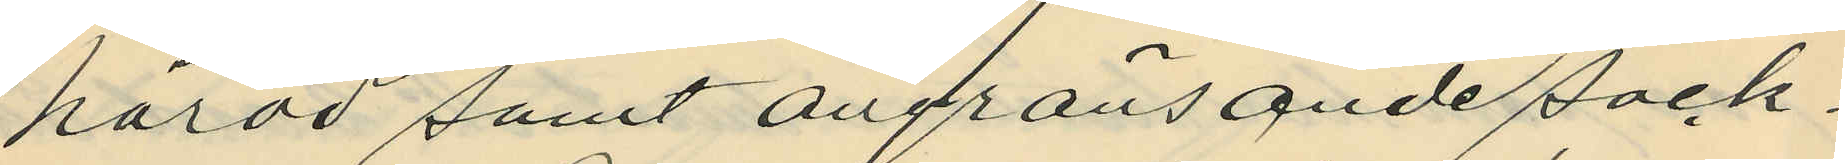härad samt angränsande sock¬
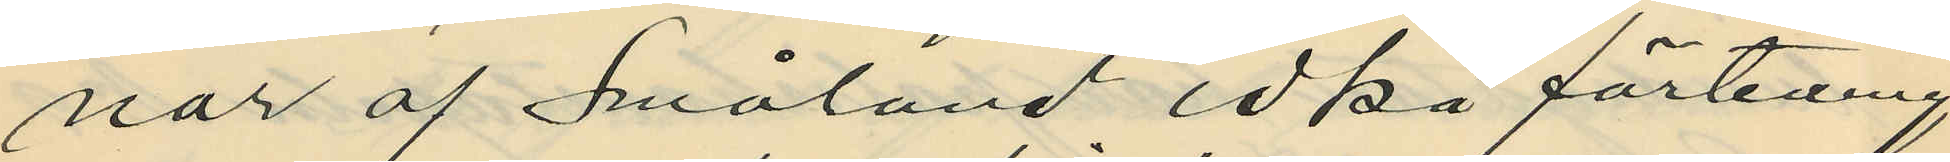nar af Småland idka förtening
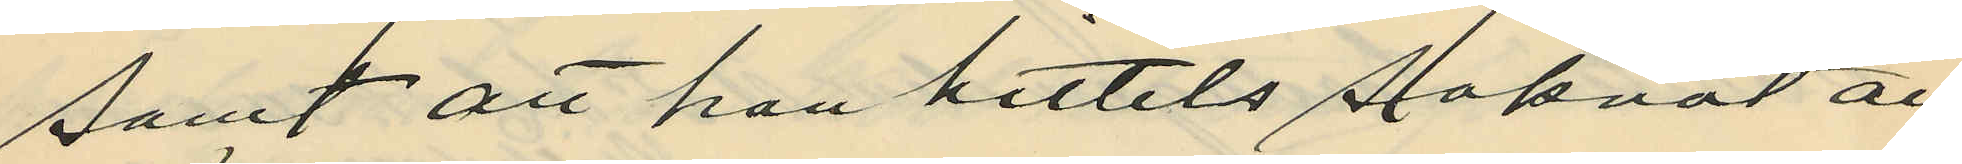samt att han hittils saknat all
